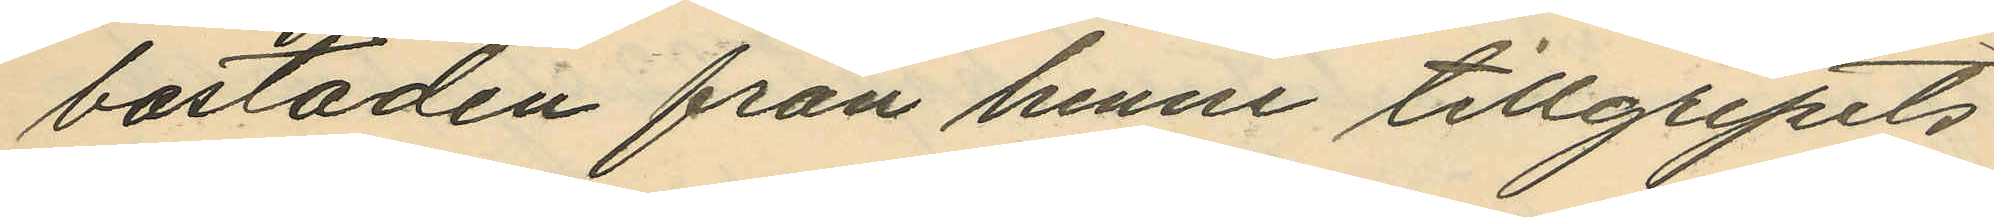bostaden från henne tillgripits
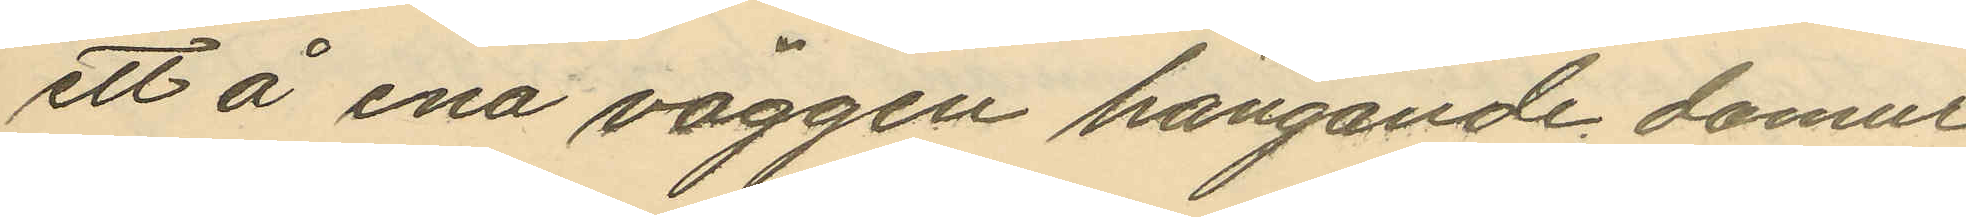ett å ena väggen hängande damur
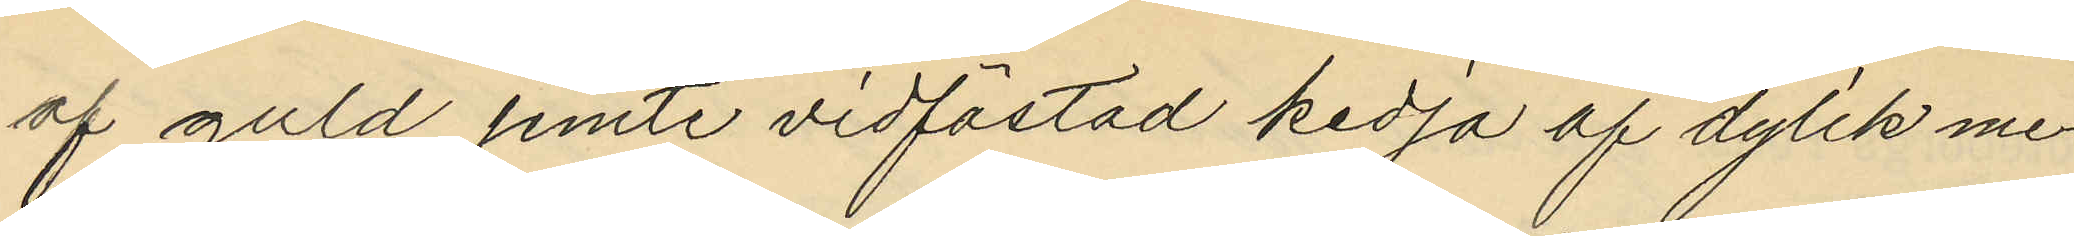af guld jemte vidfästad kedja af dylik me¬
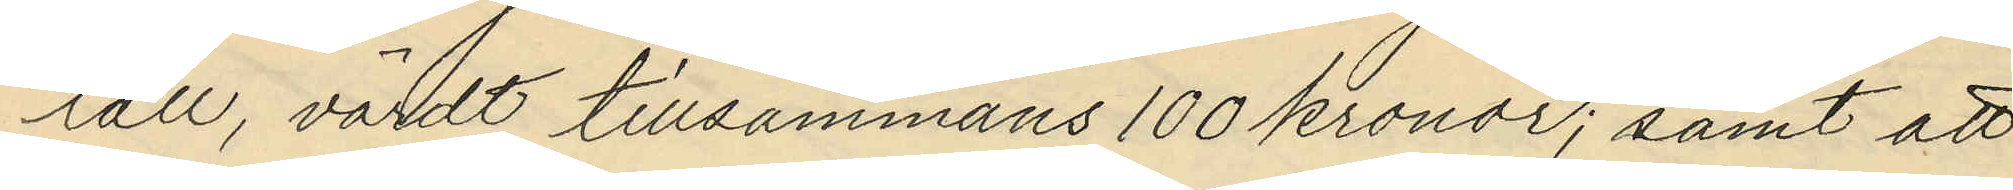tall, värdt tillsammans 100 kronor; samt att
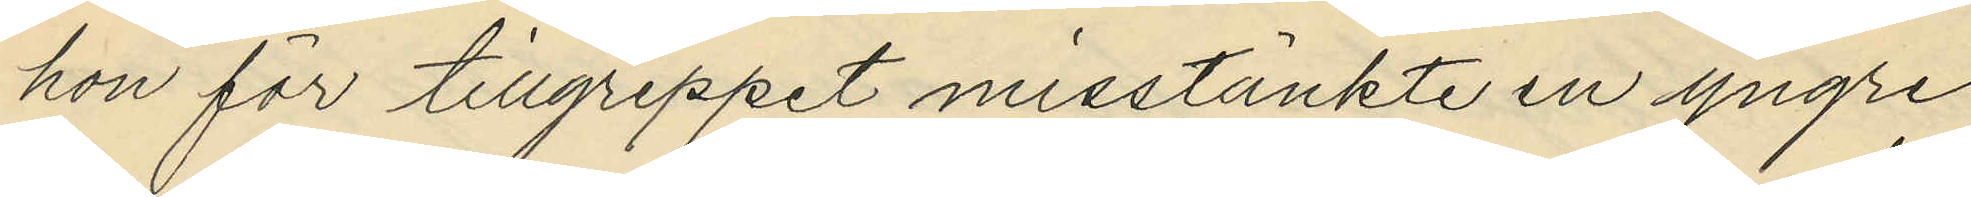hon för tillgreppet misstänkte en yngre
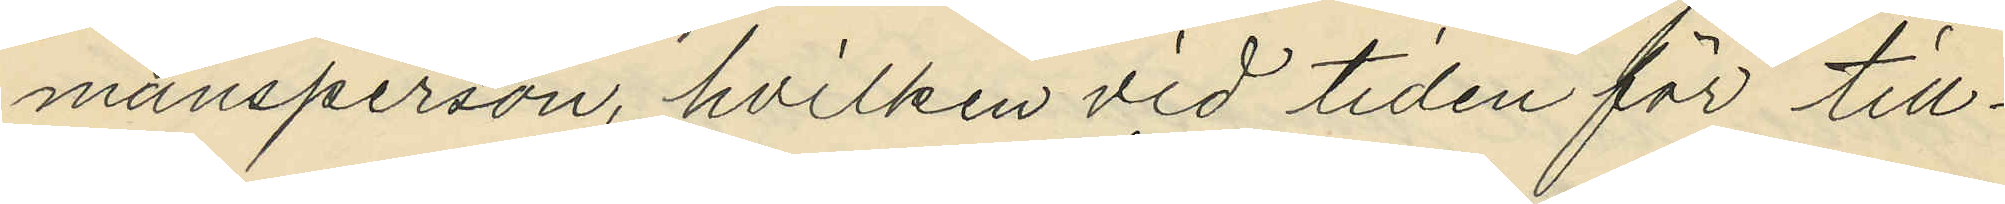mansperson, hvilken vid tiden för till¬
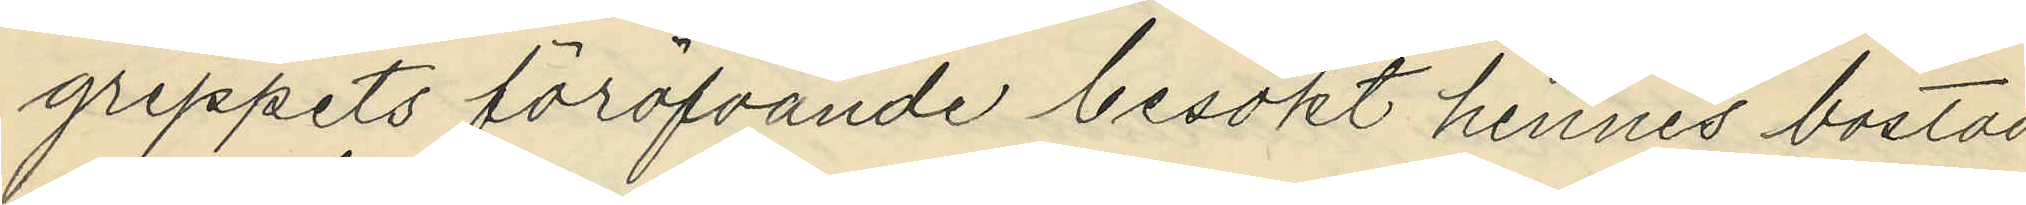greppets föröfvande besökt hennes bostad
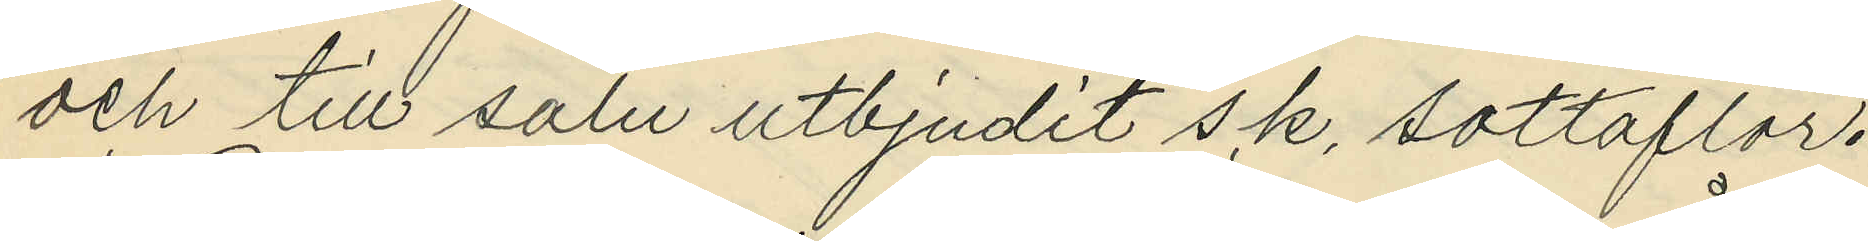och till salu utbjudit s.k. sottaflor.
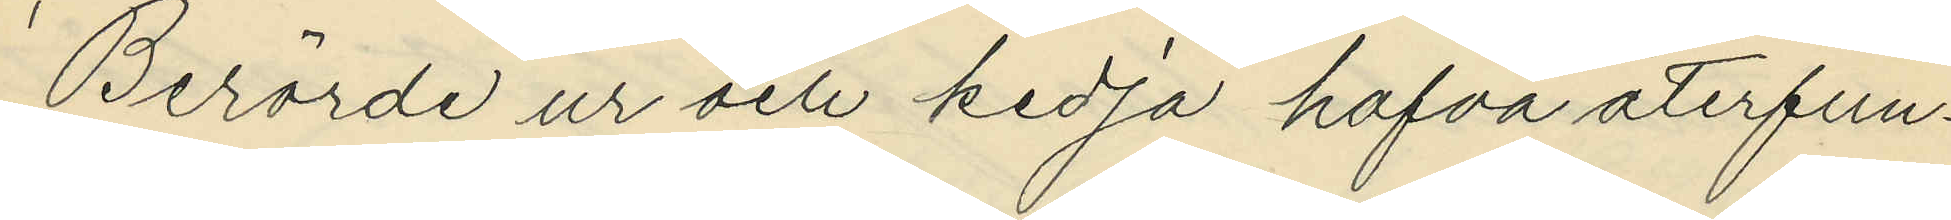Berörde ur och kedja hafva återfun¬
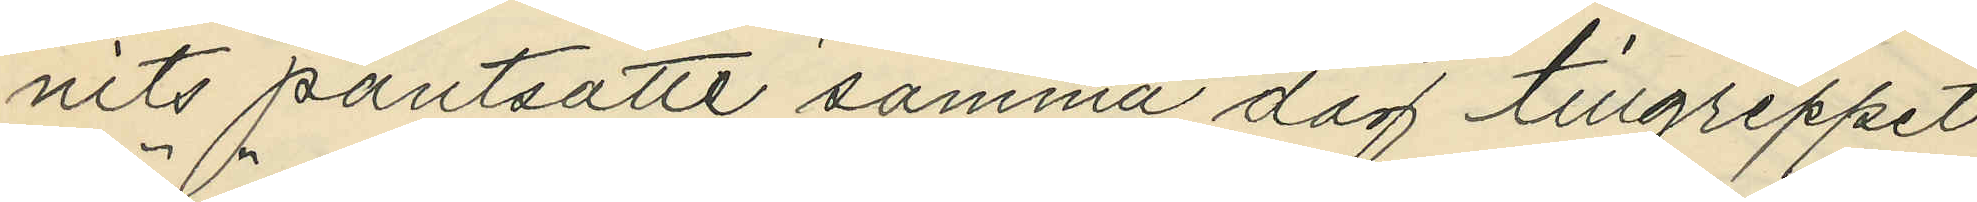nits pantsatte samma dag tillgreppet
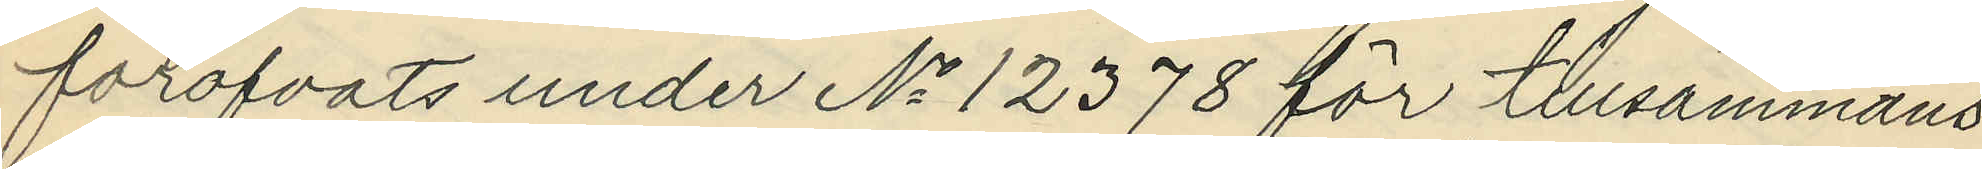föröfvats under No 12378 för tillsammans
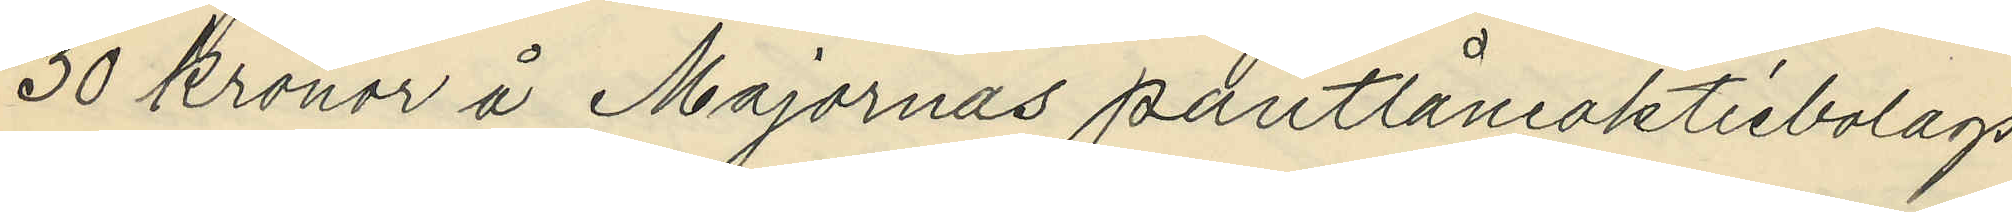30 kronor å Majornas pantlåneaktiebolags
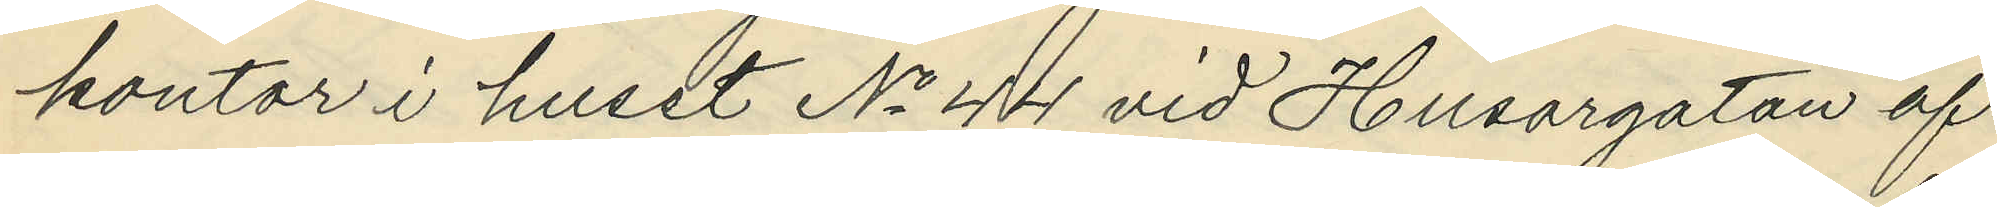kontor i huset No 44 vid Husargatan af
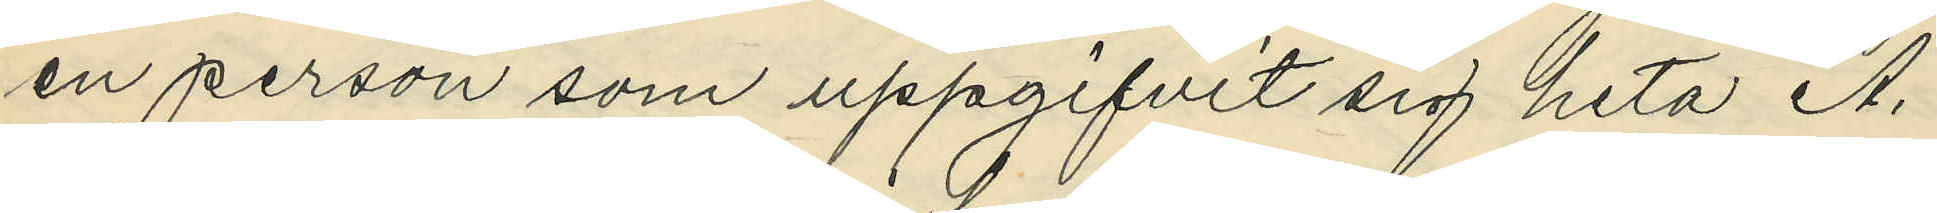en person som uppgifvit sig heta A.
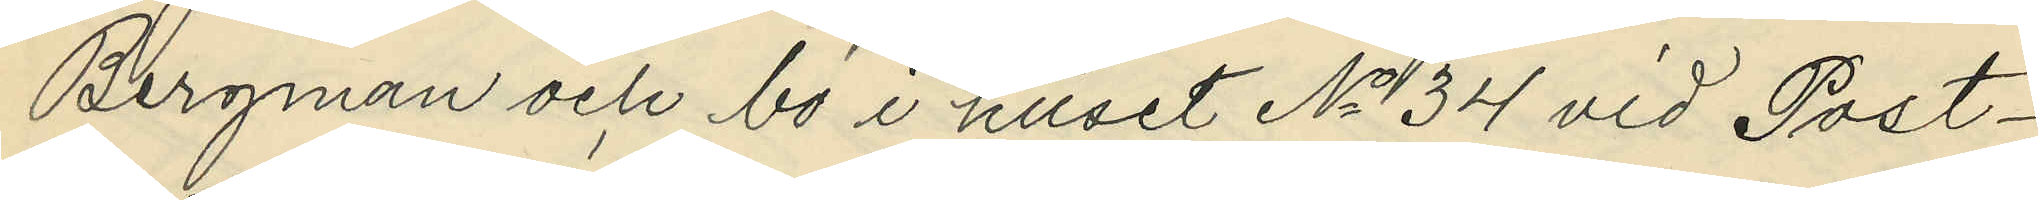Bergman och bo i huset No 34 vid Post¬
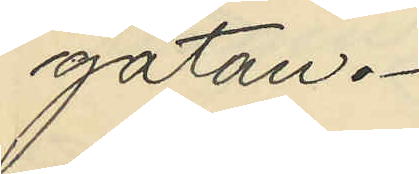gatan.
